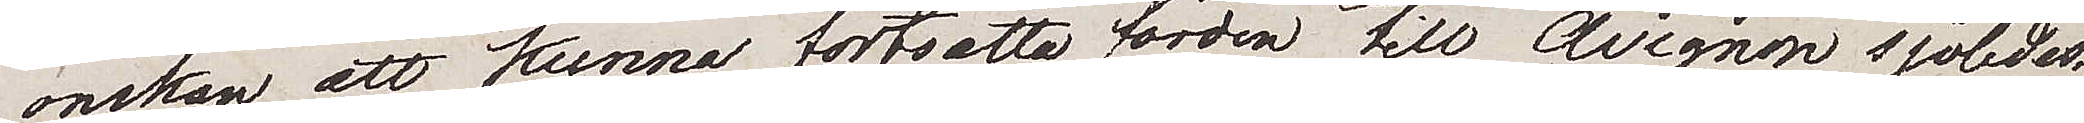önskan att kunna fortsätta färden till Avignon sjöledes,
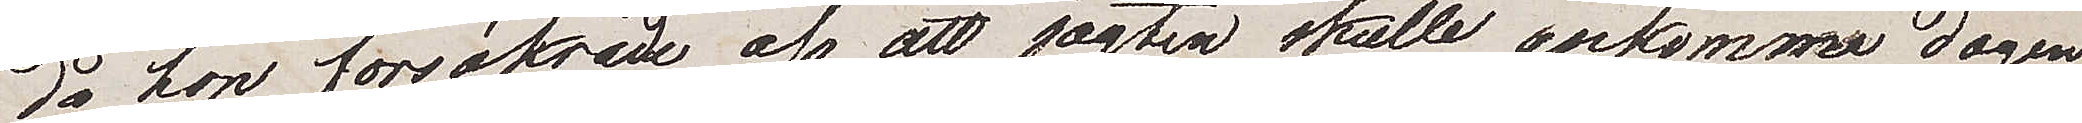då hon försäkrade oss att jagten skulle ankomma dagen
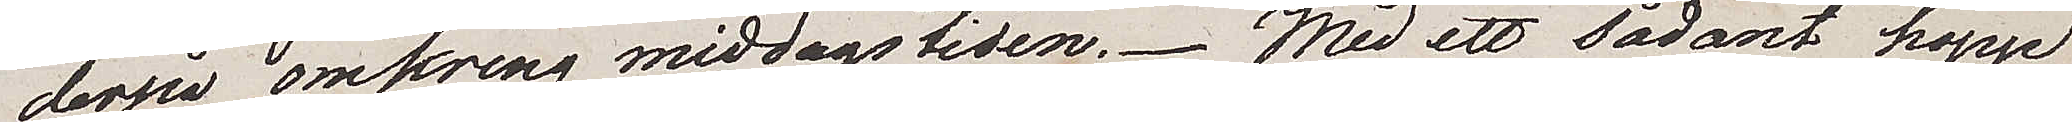derpå omkring middagstiden. Med ett sådant hopp
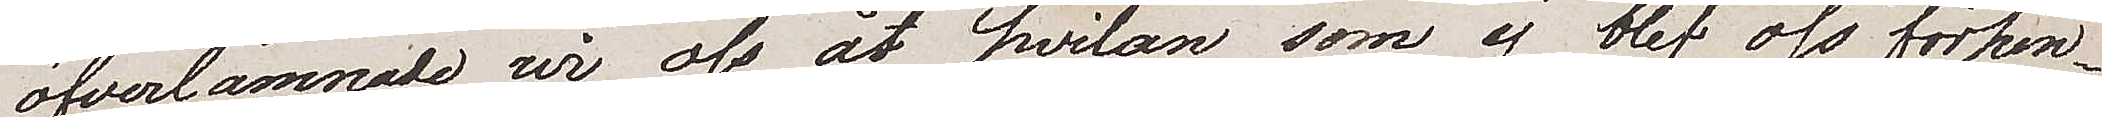öfverlämnade wi oss åt hvilan som ej blef oss förhin¬
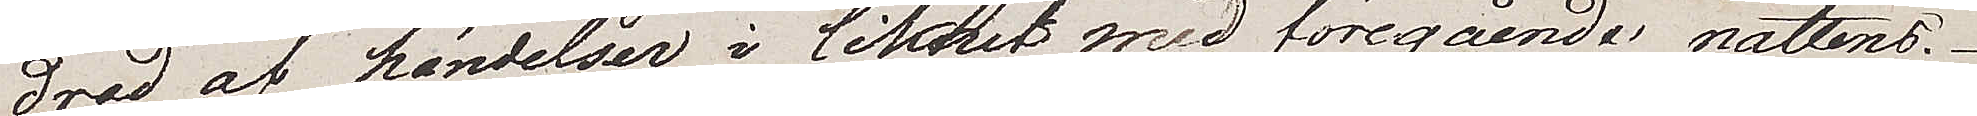drad af händelser i likhet med föregående nattens.
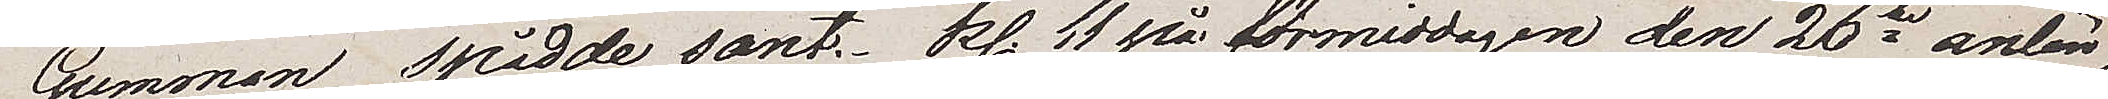Gumman spådde sant. Kl. 11 på förmiddagen den 26te anlän¬
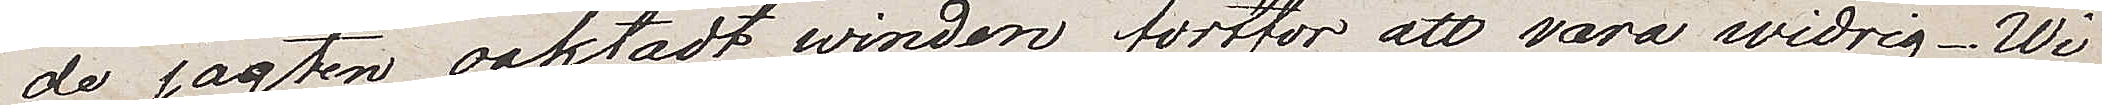de jagten oaktadt winden fortfor att vara widrig. Wi
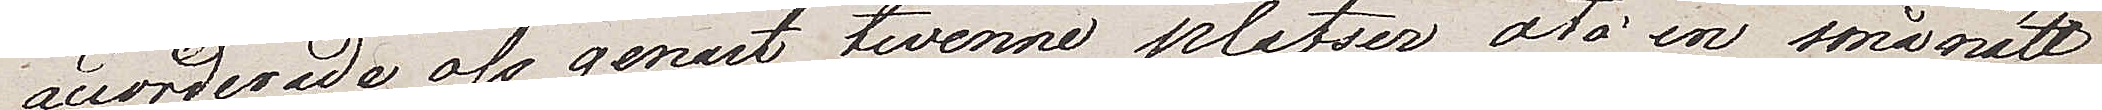accorderade oss genast twenne platser, åto en smånätt
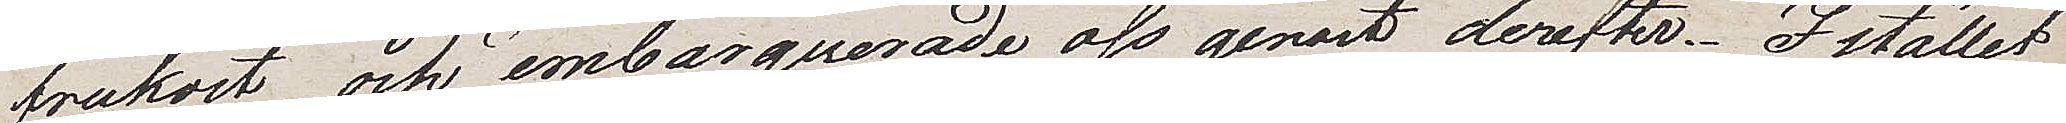frukost och embarquerade oss genast derefter. Istället
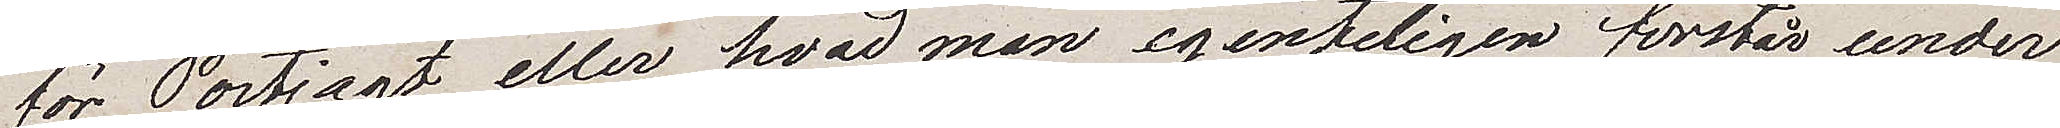för Postjagt, eller hvad man egentligen förstår under
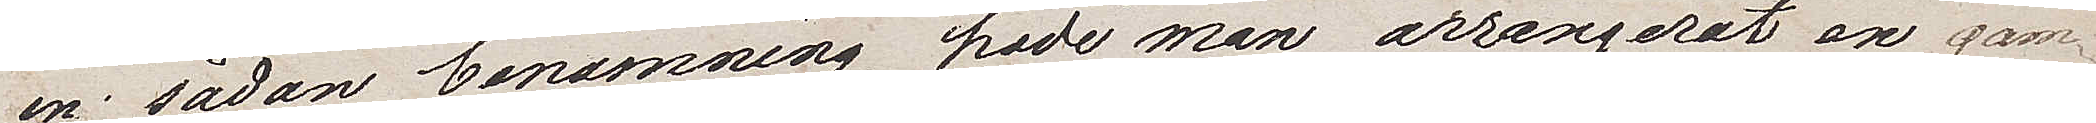en sådan benämning, hade man arrangerat en gam¬
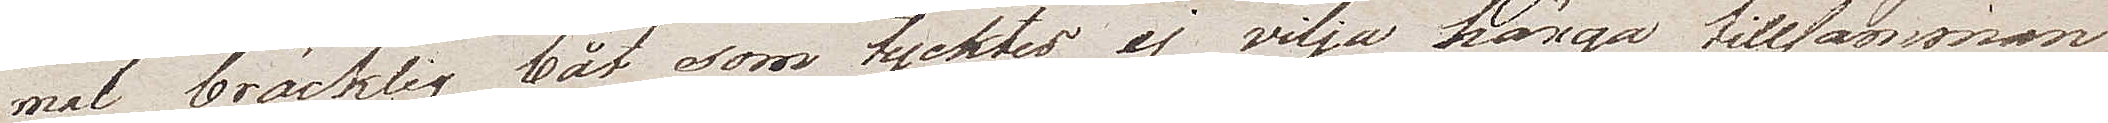mal bräcklig båt som tycktes ej vilja hänga tillsamman
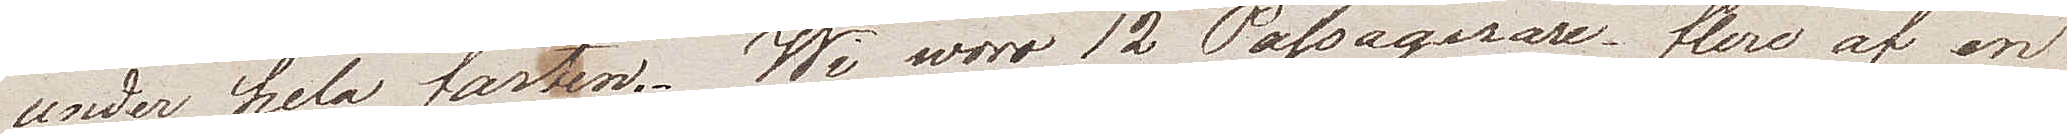under hela farten. Wi woro 12 Passagerare, flere af en
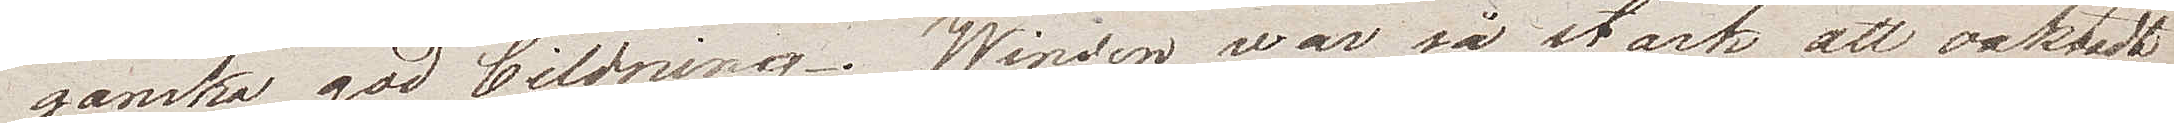ganska god bildning. Winden war så stark att oaktadt
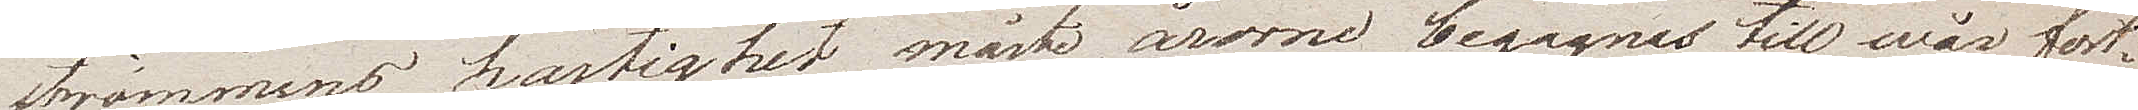strömmens hastighet, måste årorna begagnas till wår fort¬
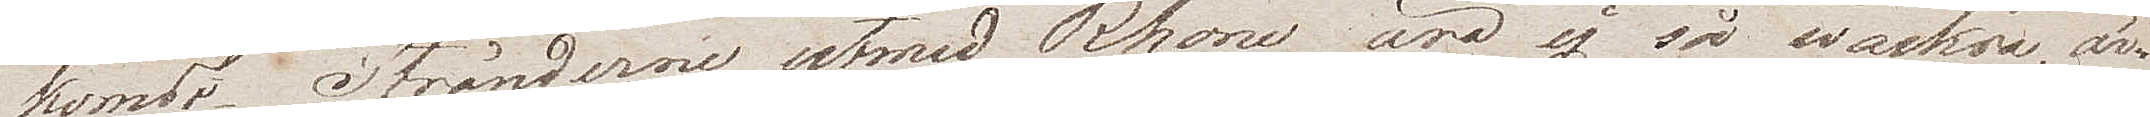komst. Stränderna utmed Rhone äro ej så wackra, är¬
